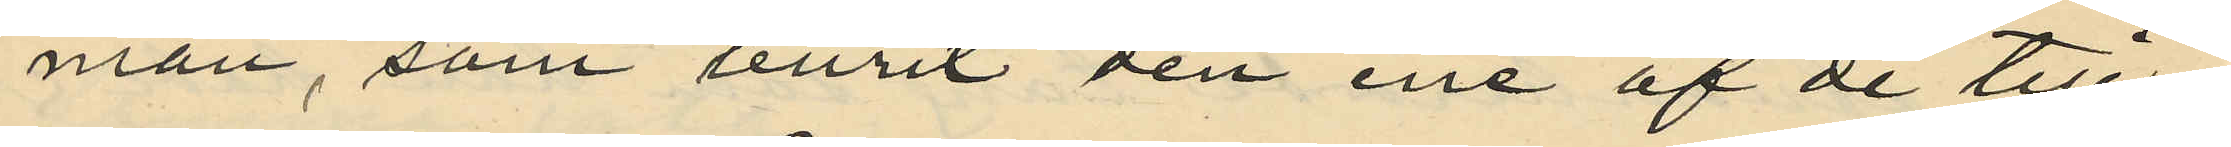man, som burit den ene af de till¬
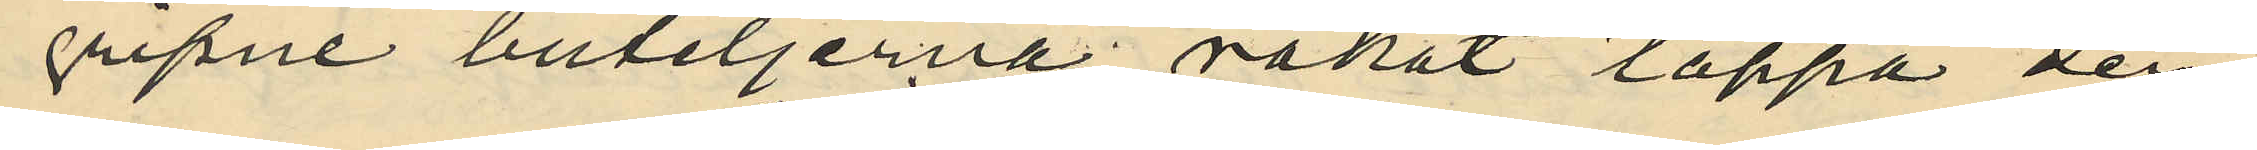gripne buteljerna råkat tappa den¬
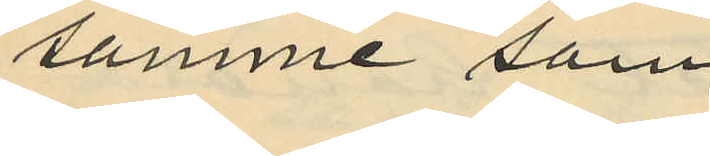samme som
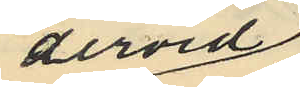dervid
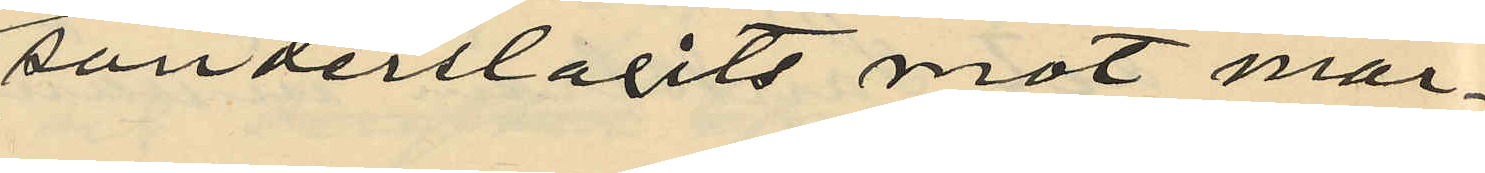sönderslagits mot mar¬
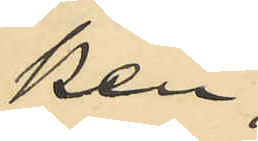ken.
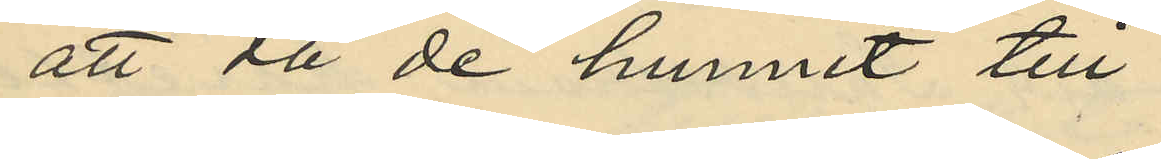att då de hunnit till
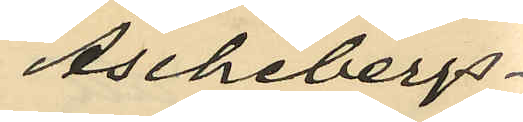Aschebergs¬
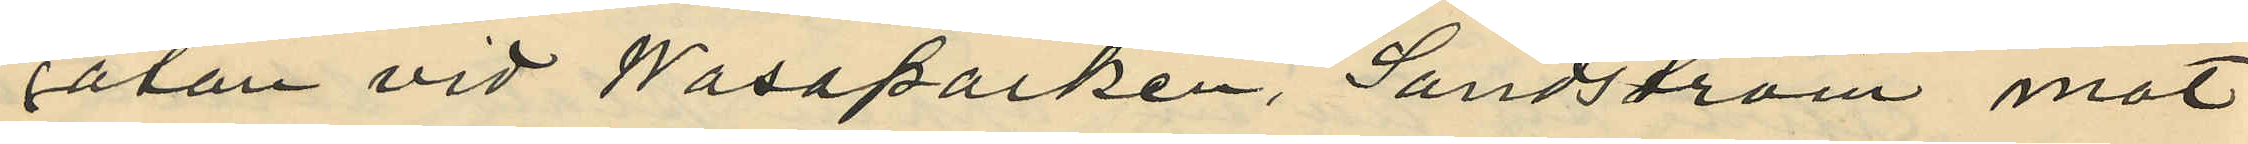gatan vid Wasaparken, Sandström mot
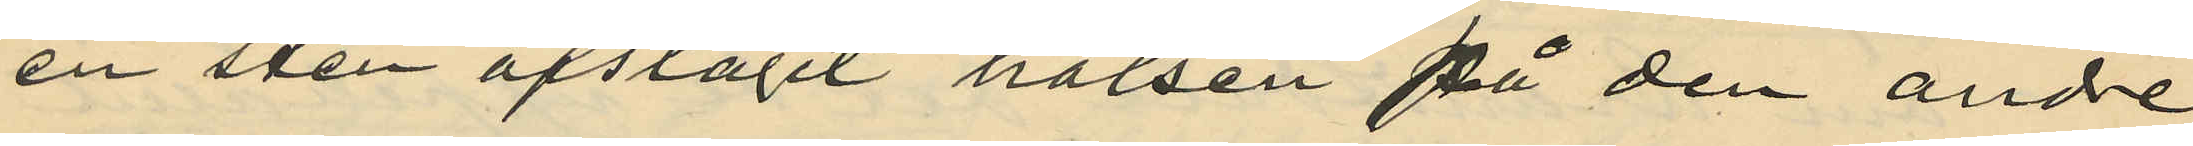en sten afslagit halsen på den andre
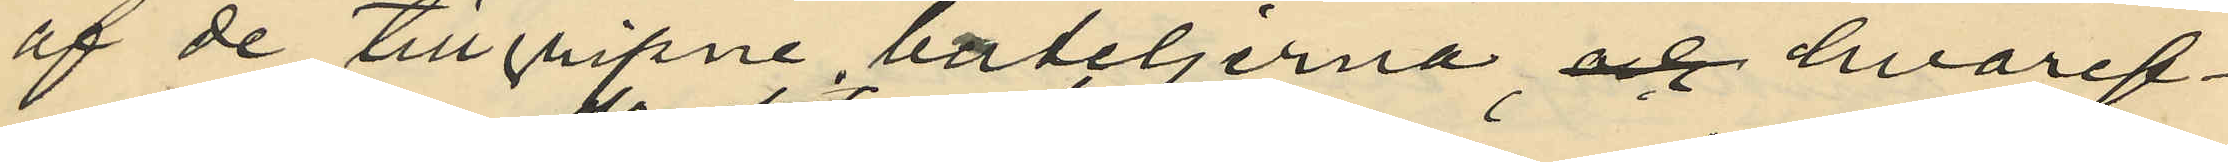af de tillgripne bateljerna och hvaref¬
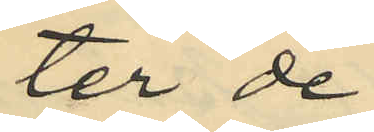ter de
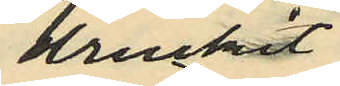druckit
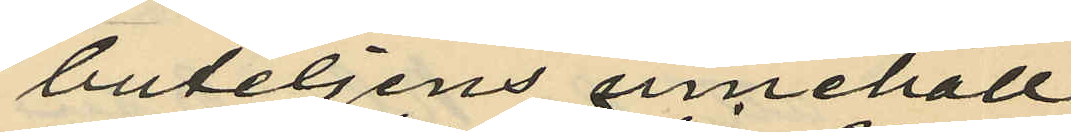buteljens innehåll
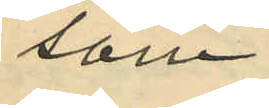som
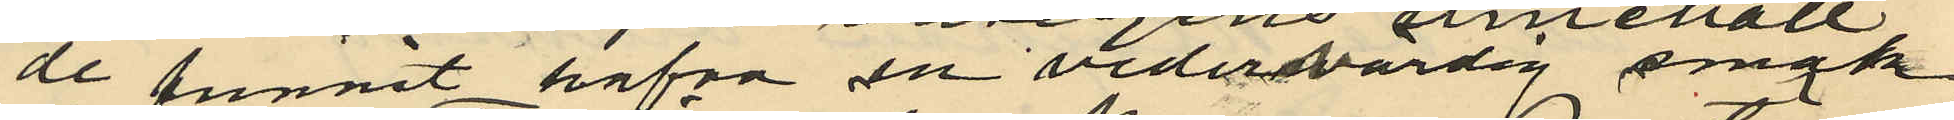de funnit hafva en vedersvärdig smak¬
